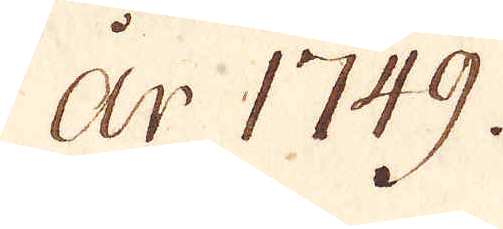år 1749.
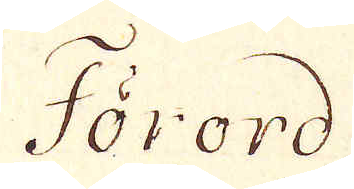Förord
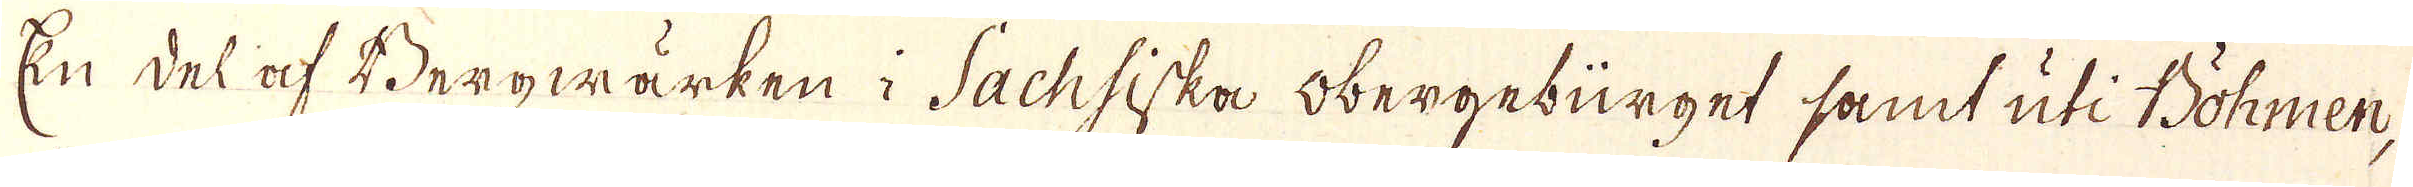En del af Bergwärken i Sachsiska obergebürget samt uti Böhmen,
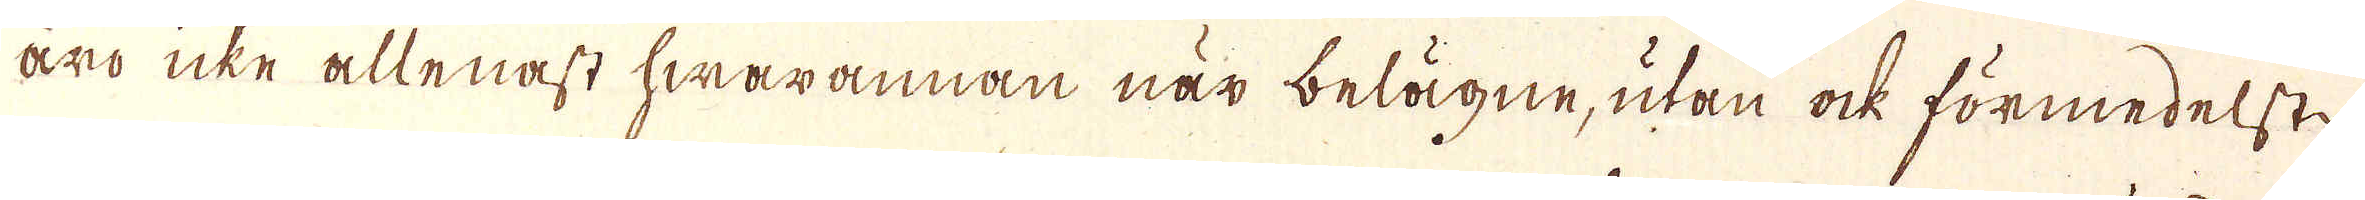äro icke allenast hwarannan när belägne, utan ock förmedelst
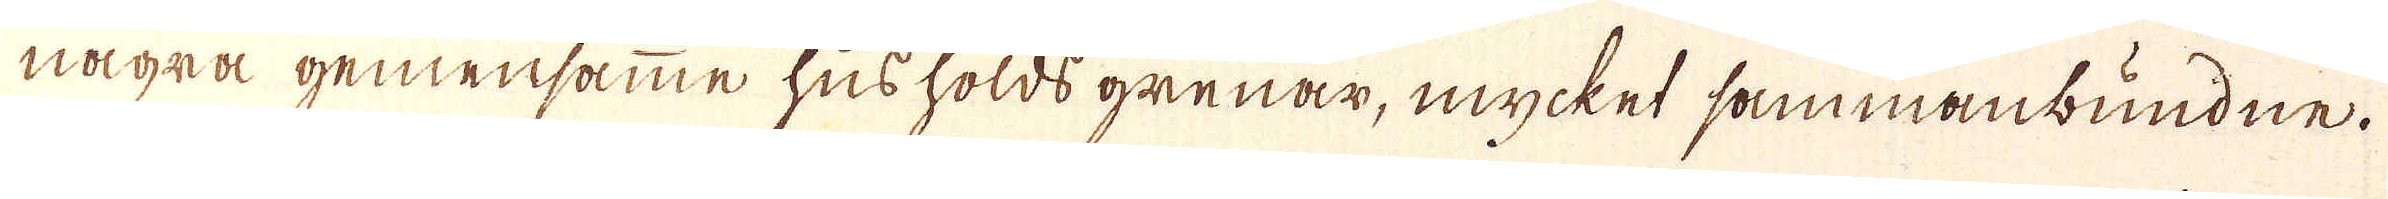några gemensamme husholds grenar, mycket sammanbundne.
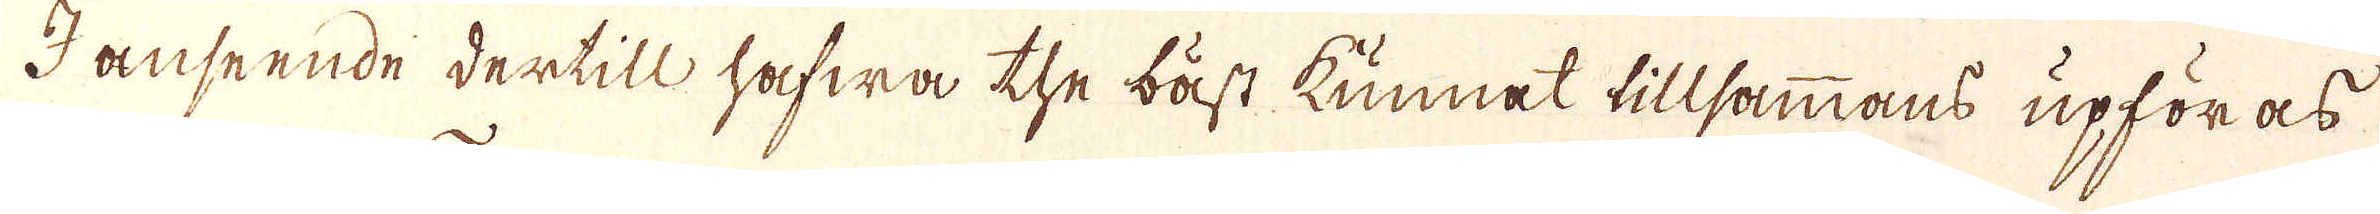I anseende dertill hafwa the bäst kunnat tillsammans upföras
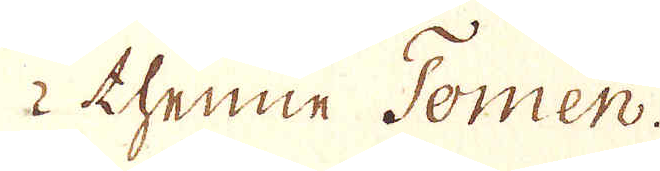i thenne Tomen.
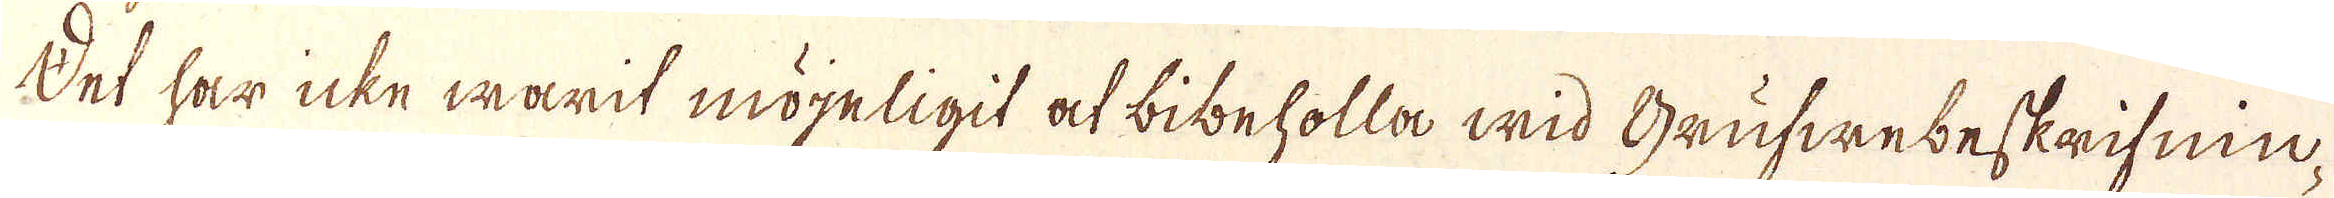Det har icke warit möijeligit at bibeholla wid Grufwebeskrifnin-
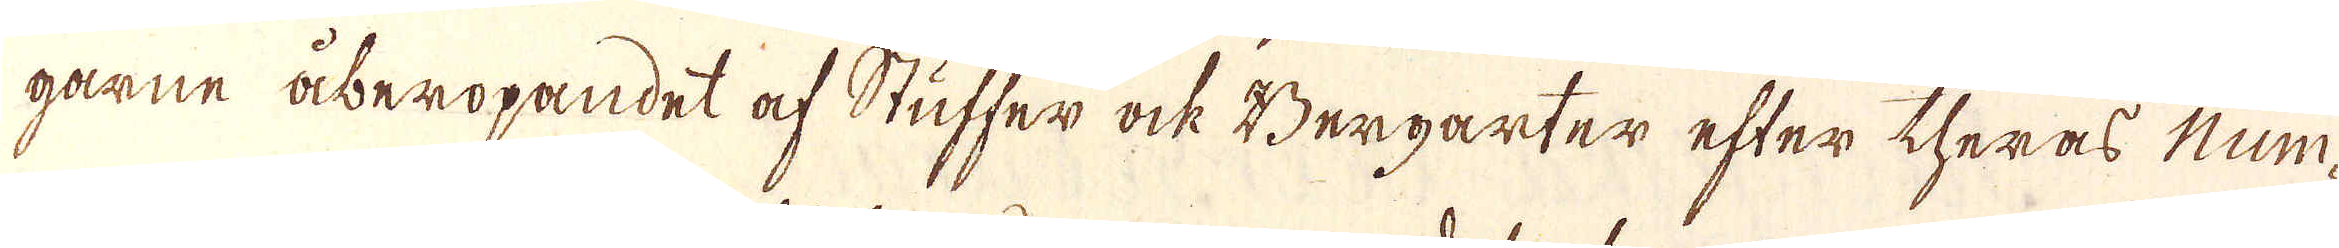garne åberopandet af Stuffer ock Bergarter efter theras Num-
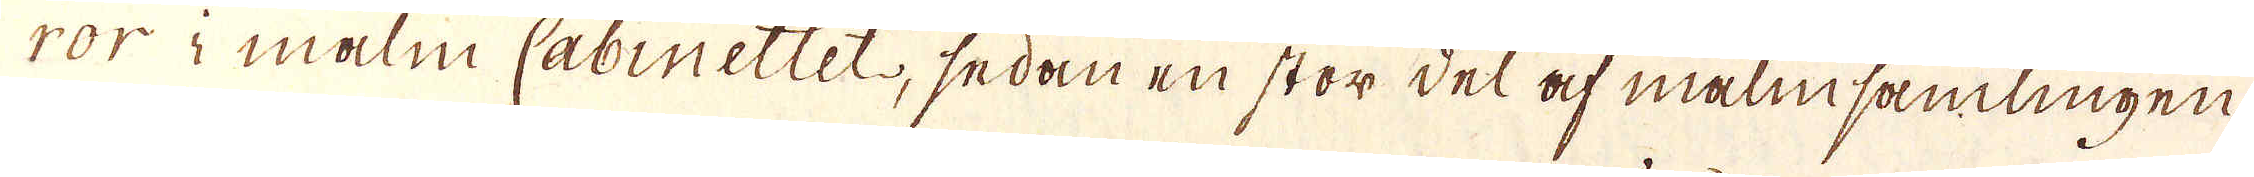ror i malm Cabinettet, sedan en stor del af malmsamlingen
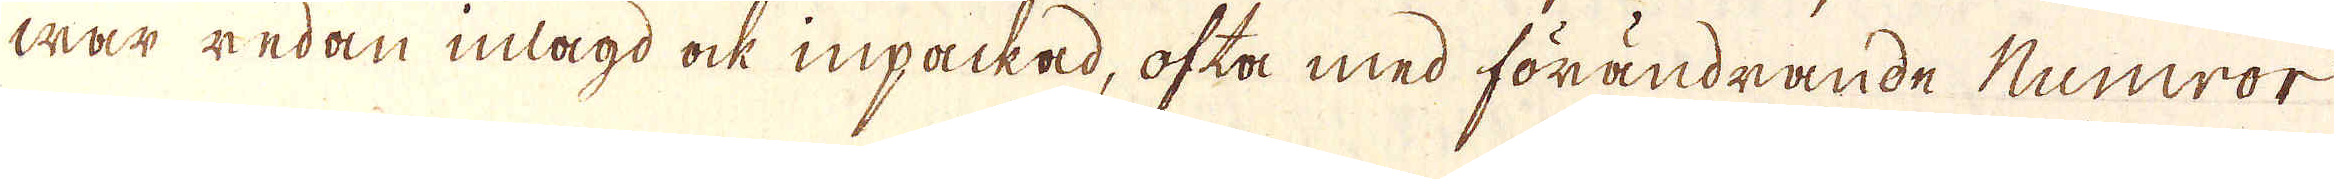war redan inlagd ock inpackad, ofta med förändrande Numror
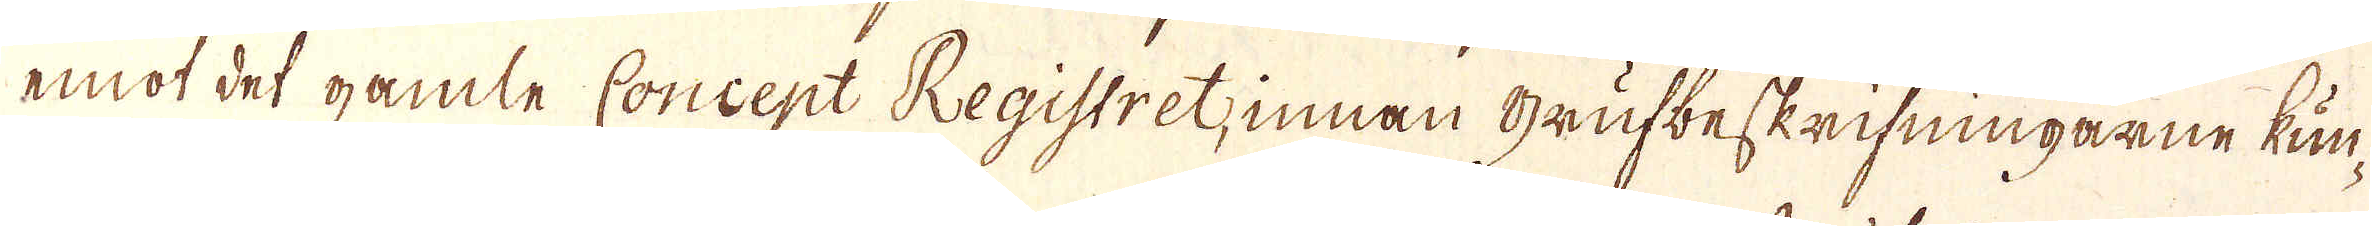emot det gamle Concept Registret, innan Grufbeskrifningarne kun-
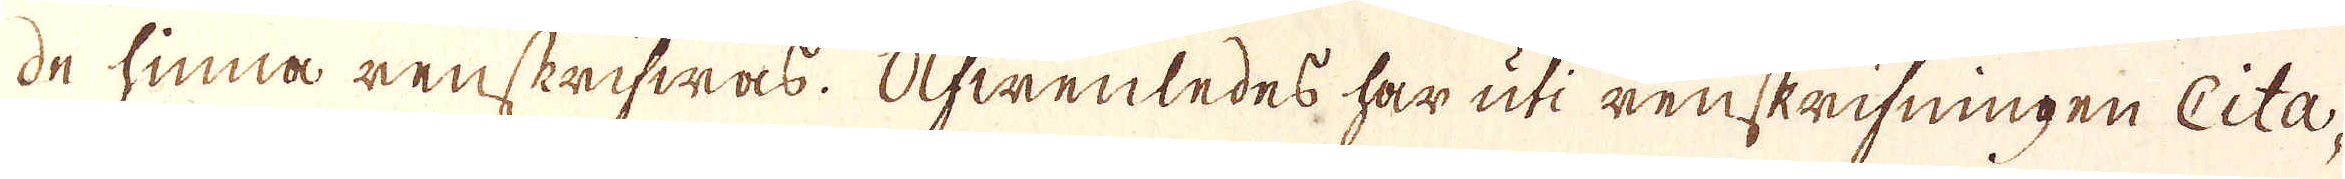de hinna renskrifwas. Öfwenledes har uti renskrifningen Cita-
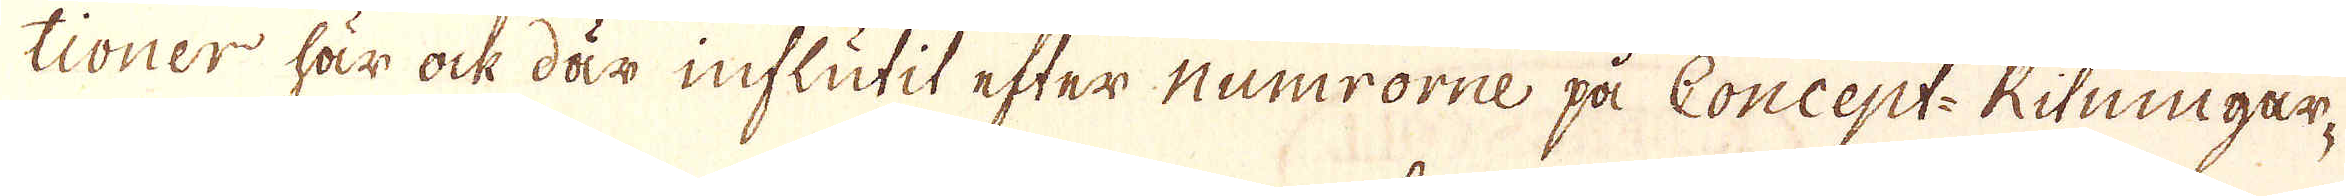tioner här ock där influtit efter Numrorne på Concept-Ritningar-
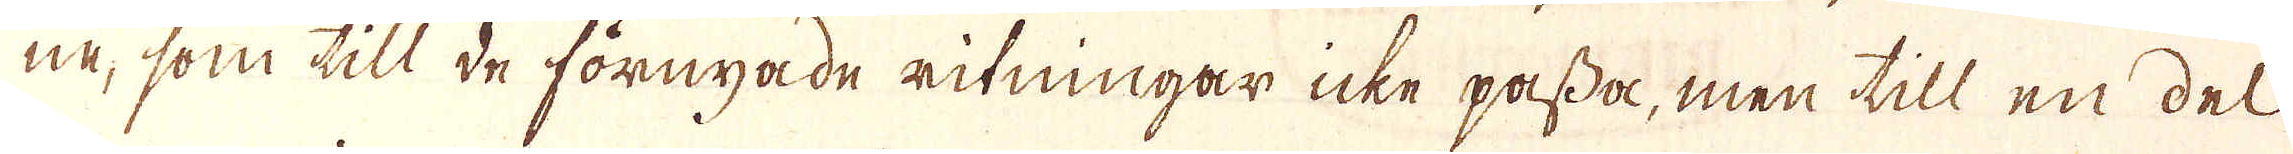ne, som till de förnyade ritningar icke passa, men till en del
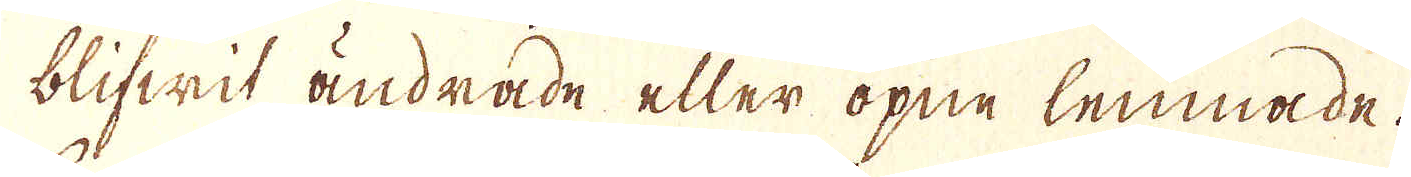blifwit ändrade eller öpne lemnade.
